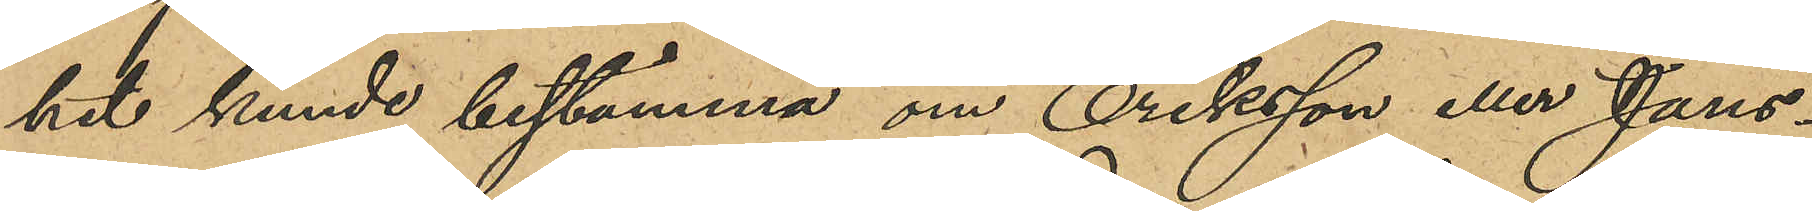het kunde bestämma om Eriksson eller Jans-
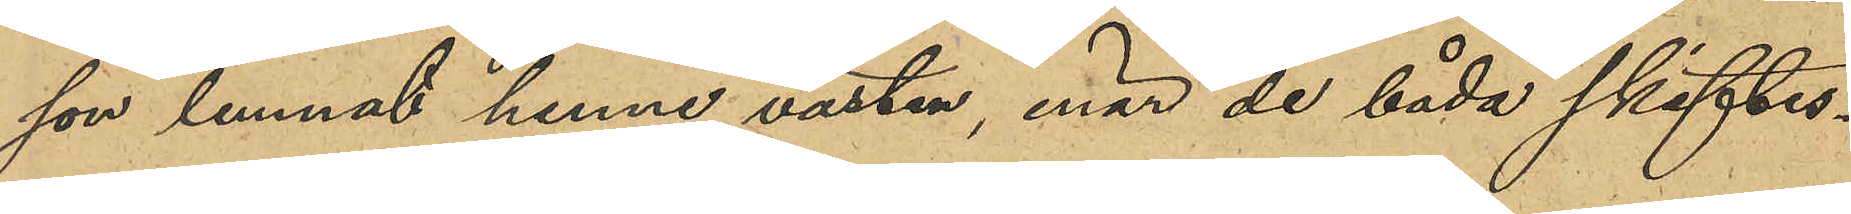son lemnat henne västen, enär de båda skiftes¬
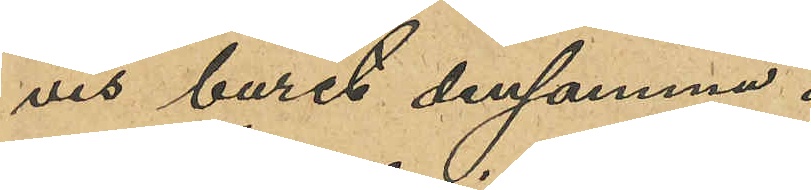vis burit densamma.
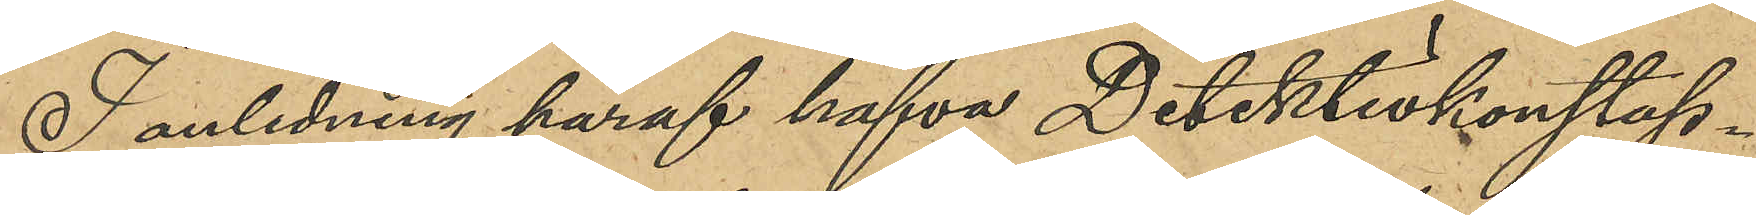I anledning häraf hafva Detektivkonstap¬
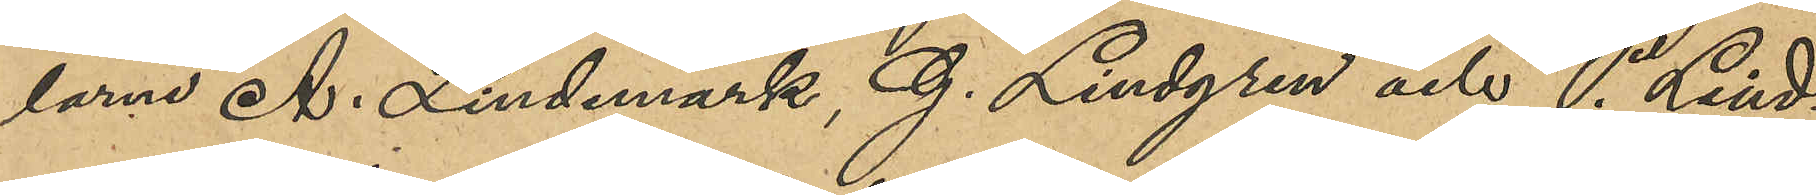larna A. Lindmark, G. Lindgren och P. Lind¬
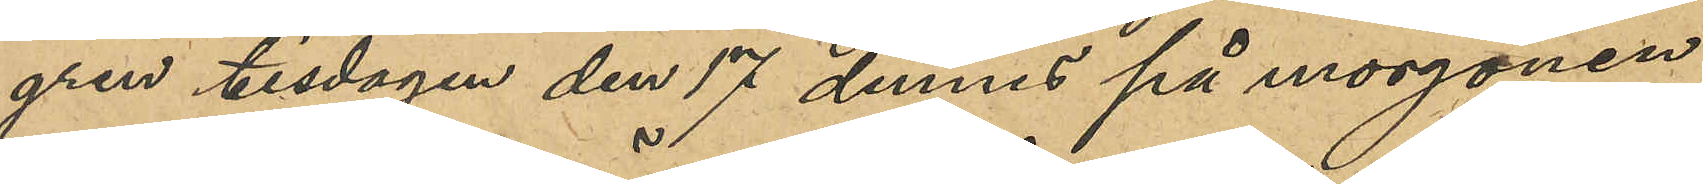gren tisdagen den 17 dennes på morgonen
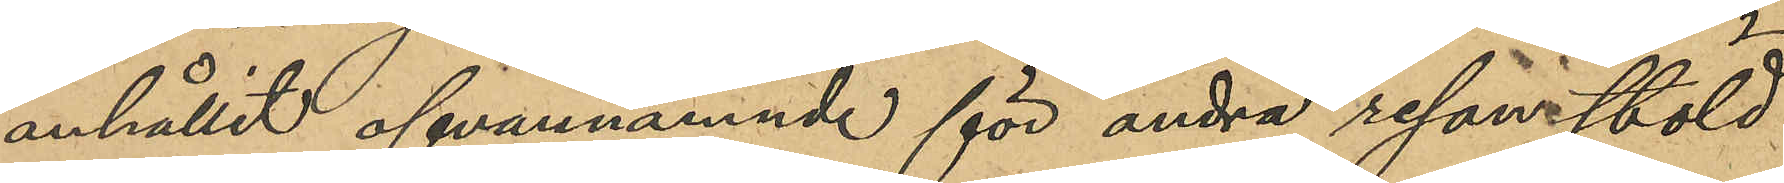anhållit ofvannämnde för andra resans stöld 
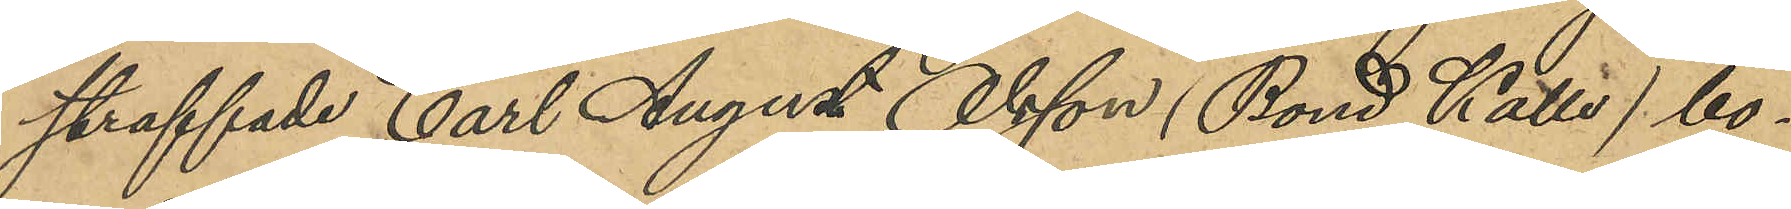straffade Carl August Olsson (Bond Kalle) bo¬
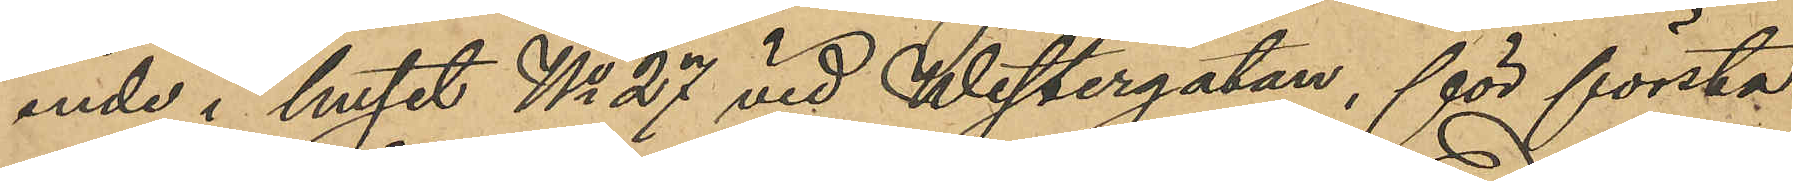ende i huset No 27 vid Westergatan, för första
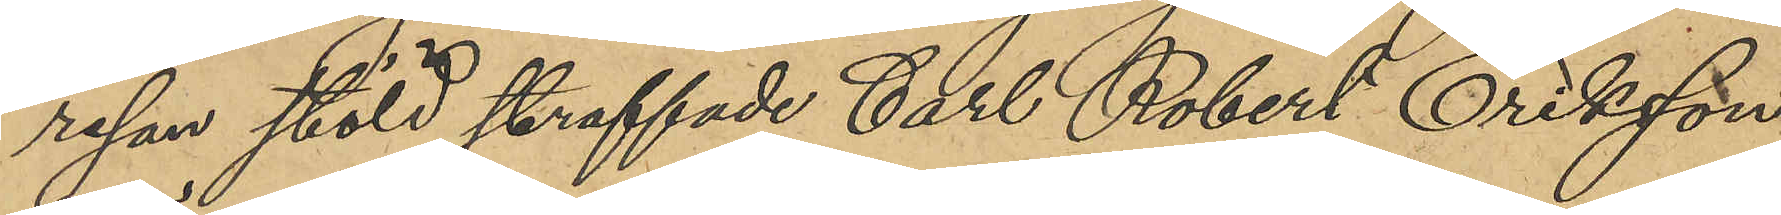resan stöld straffade Carl Robert Eriksson 
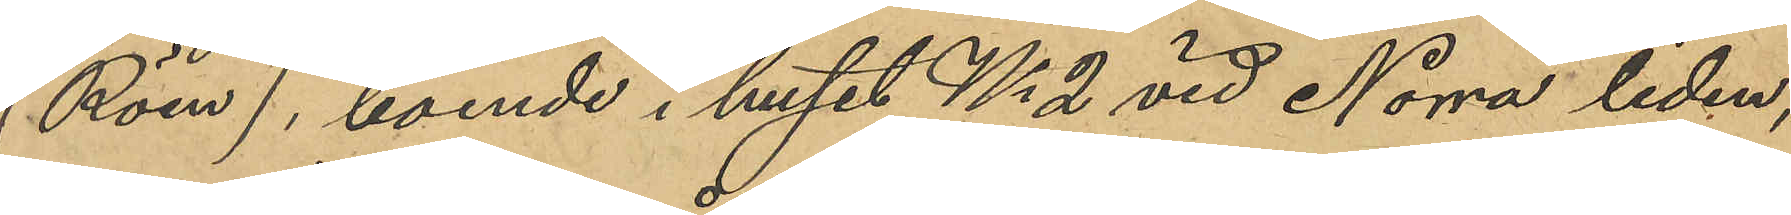(Röen), boende i huset No 2 vid Norra liden,
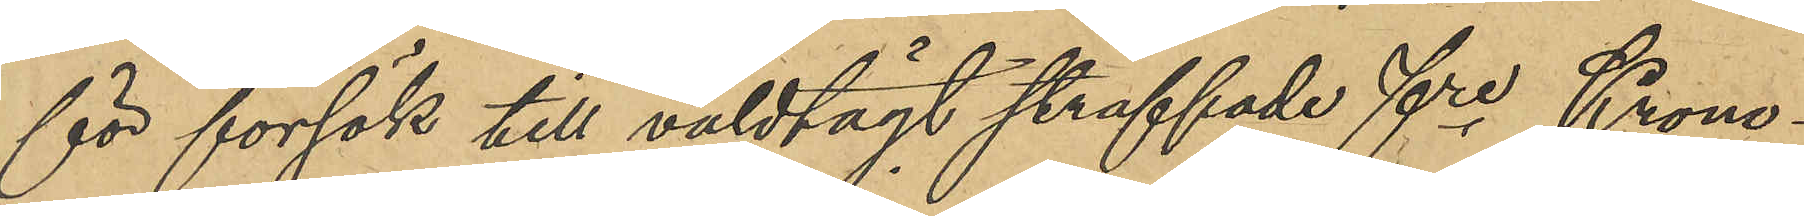för försök till våldtägt straffade fre Krono¬
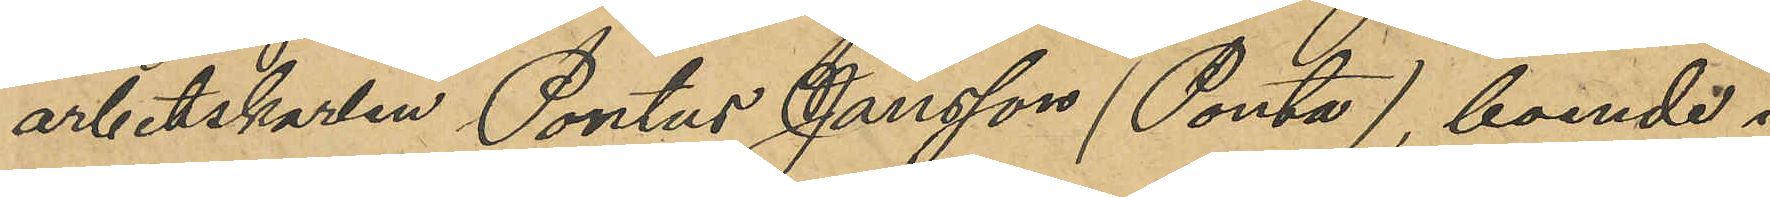arbetskarlen Pontus Jansson (Ponta), boende i
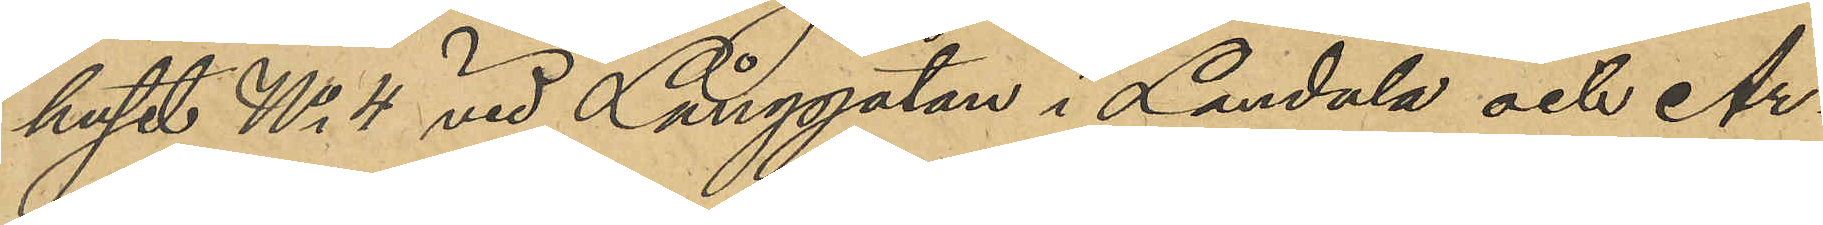huset No 4 vid Långgatan och Ar¬
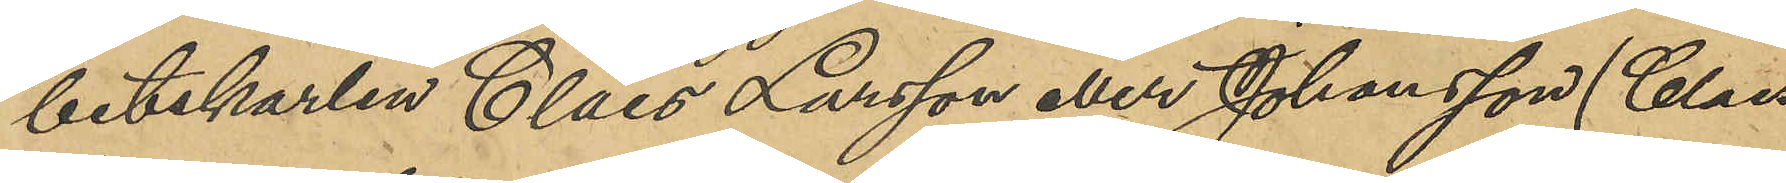betskarlen Claes Larsson eller Johansson (Claes
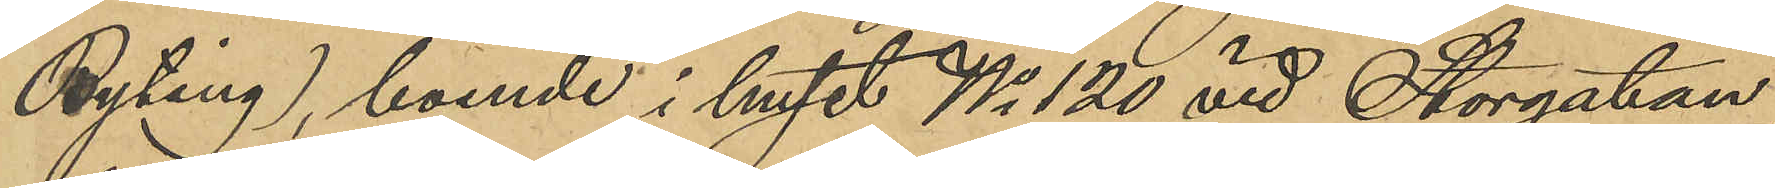Byting), boende i huset No 120 vid Storgatan,
